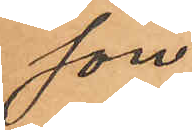son
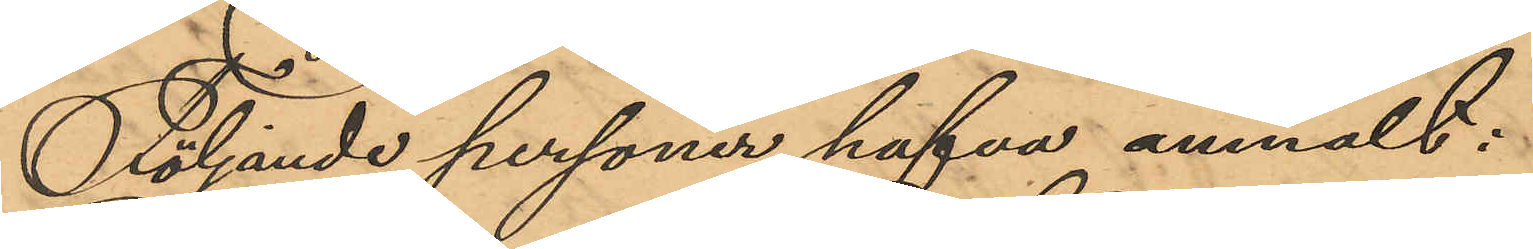Följande personer hafva anmält:
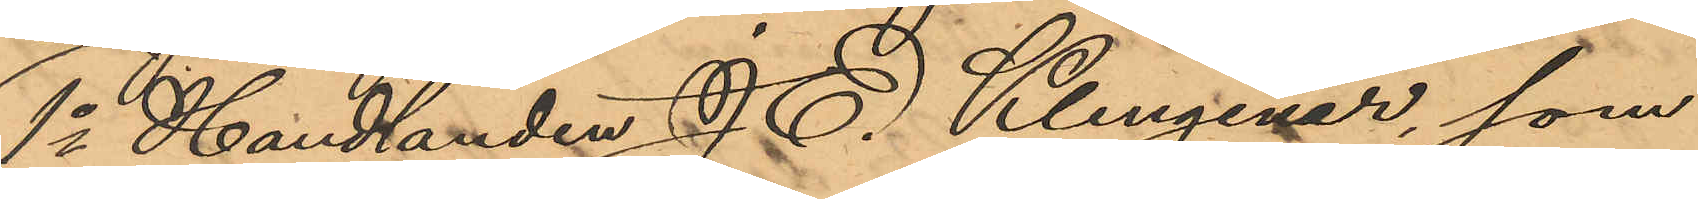1o Handlanden J. E. Klingener, som
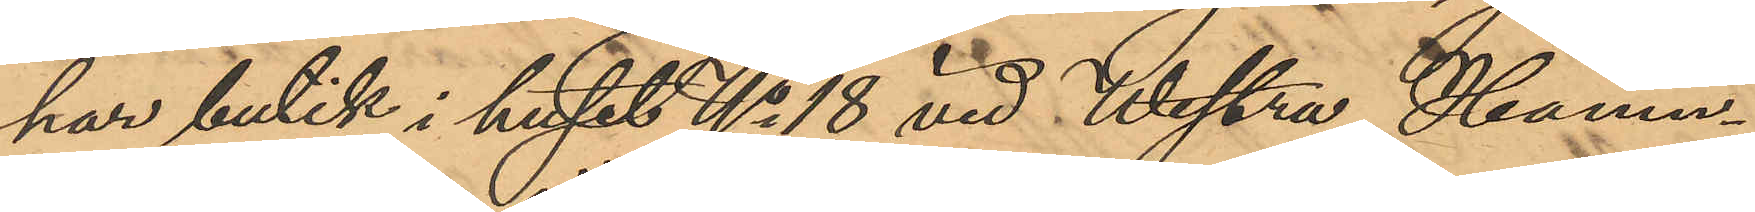har butik i huset No 18 vid Westra Hamn¬
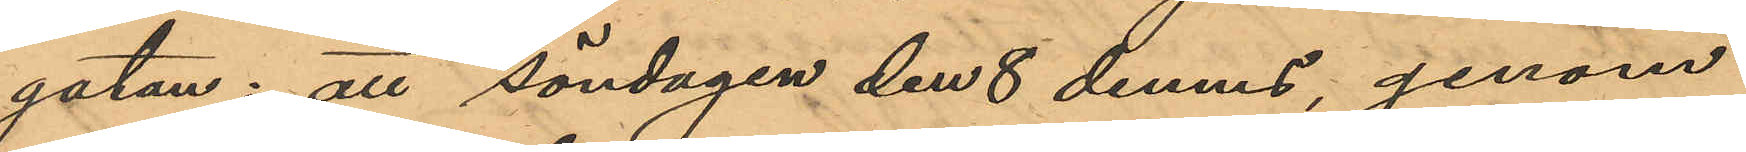gatan: att söndagen den 8 dennes, genom
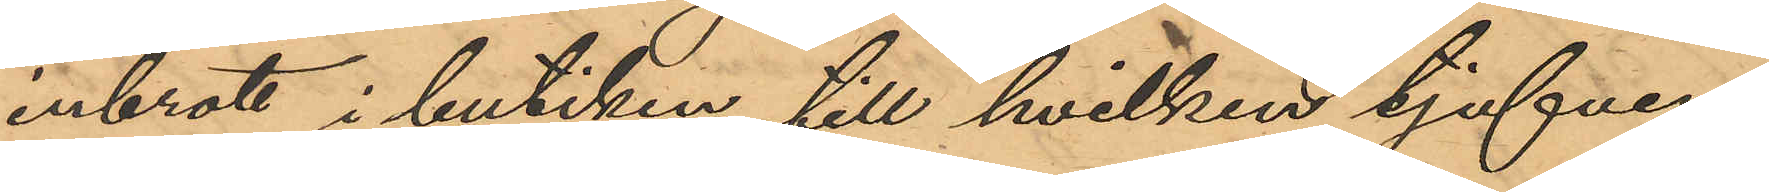inbrott i butiken, till hvilken tjufven
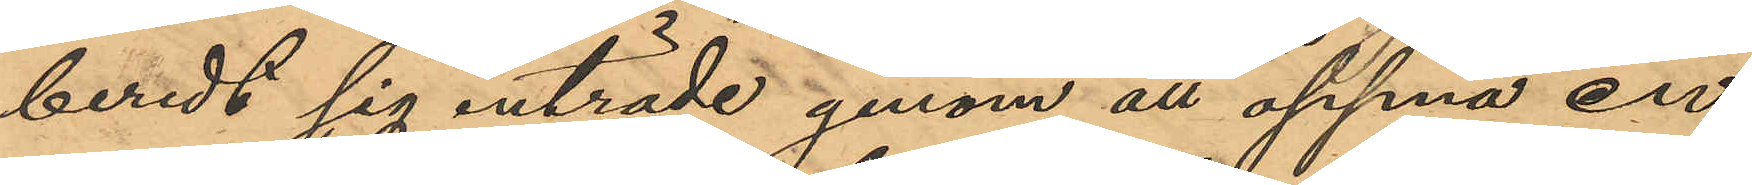beredt sig inträde genom att öppna en
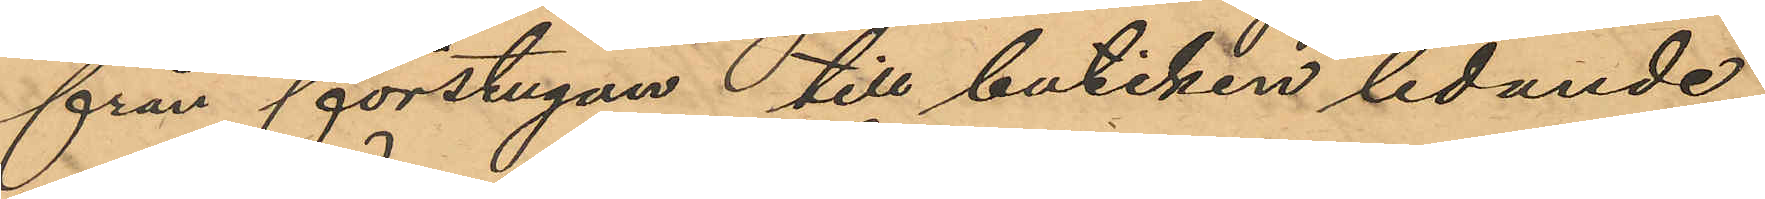från förstugan till butiken ledande
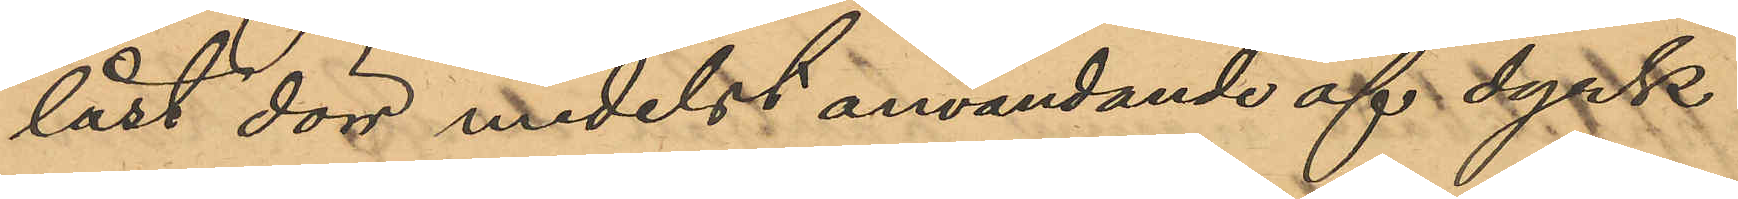låst dörr medelst användande af dyrk
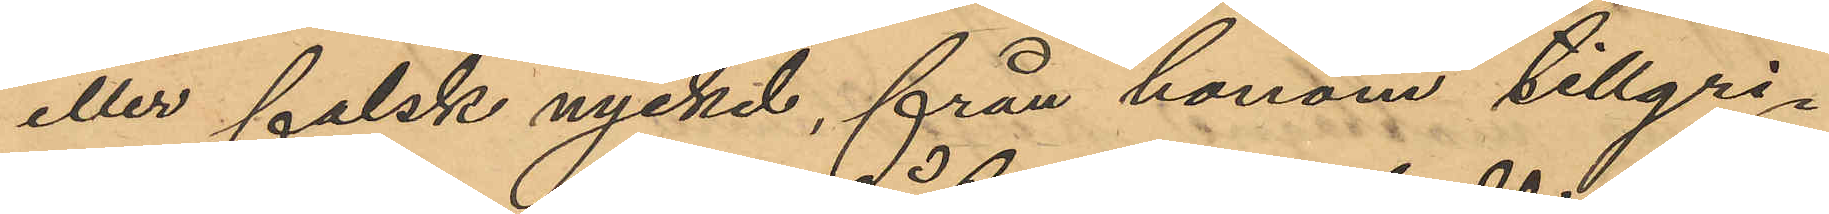eller falsk nyckel, från honom tillgri¬
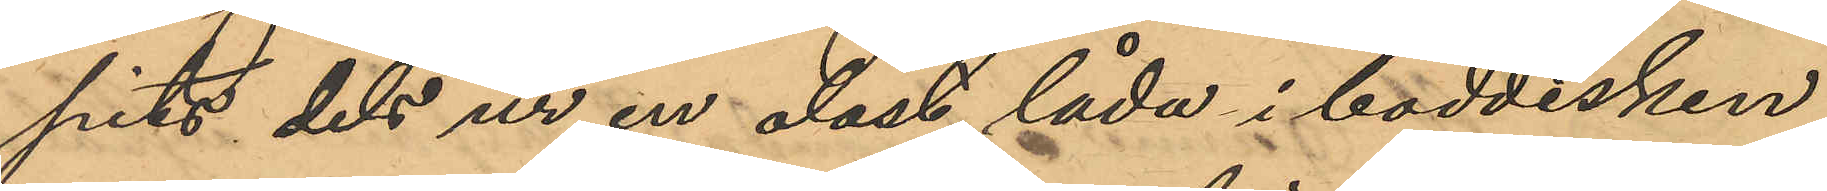pits dels ur en olåst låda i boddisken
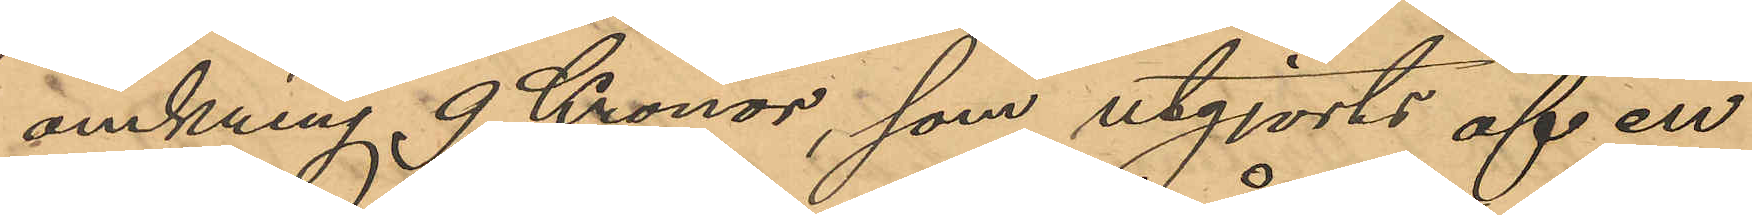omkring 9 Kronor, som utgjorts af en
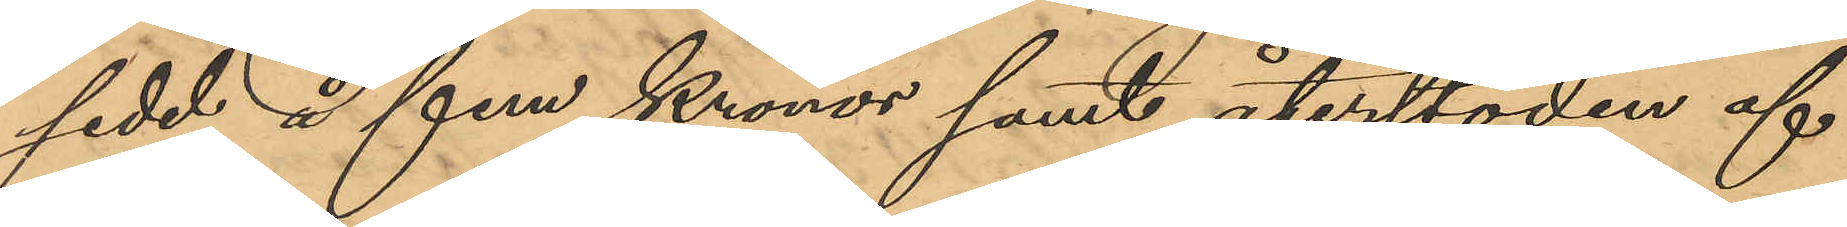sedel å fem Kronor samt återstoden af
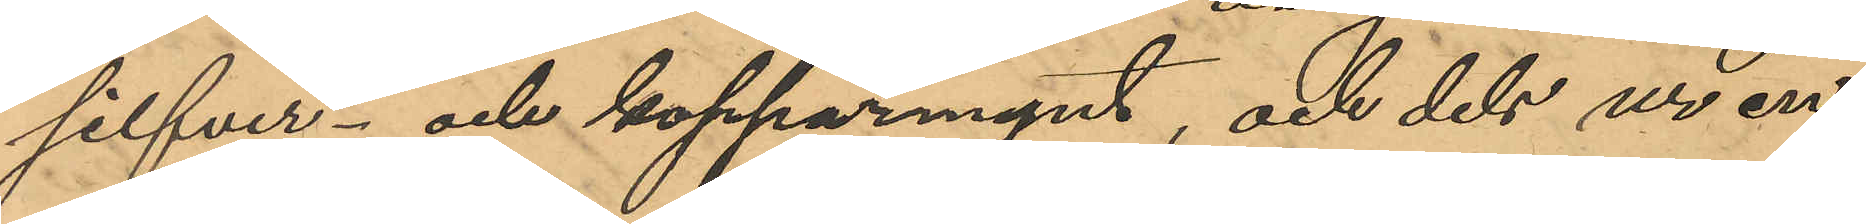silfver- och kopparmynt, och dels ur en
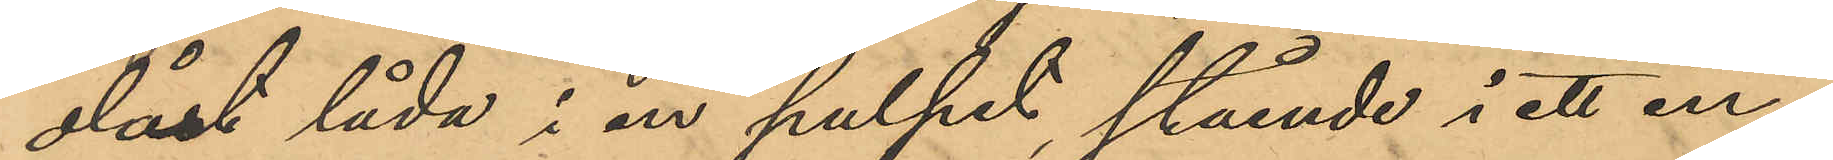olåst låda i en pulpet, stående i ett in¬
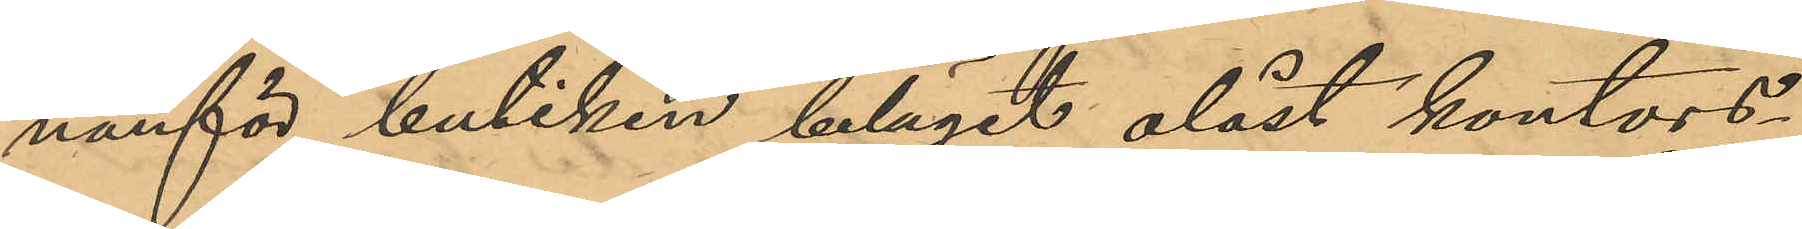nanför butiken beläget olåst kontors¬
